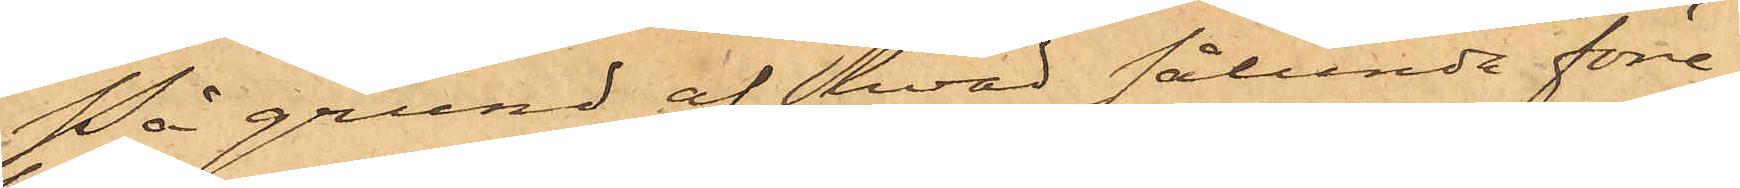På grund af hvad sålunda före¬
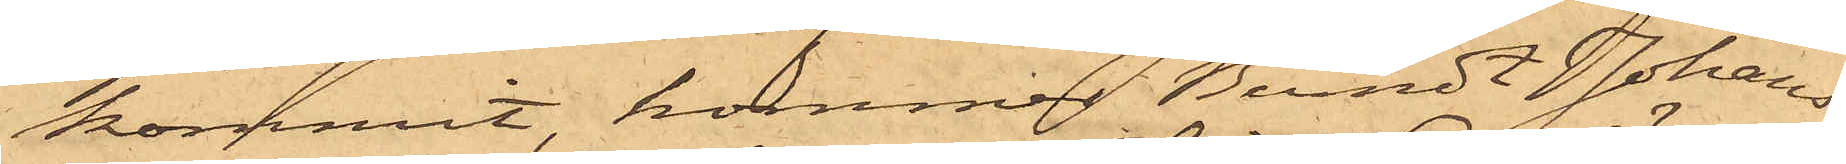kommit, kommer Berndt Johans¬
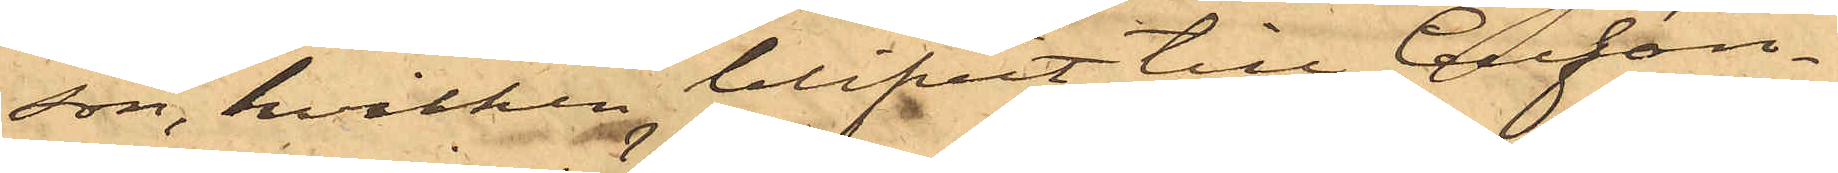son, hvilken blifvit till Cellfän¬
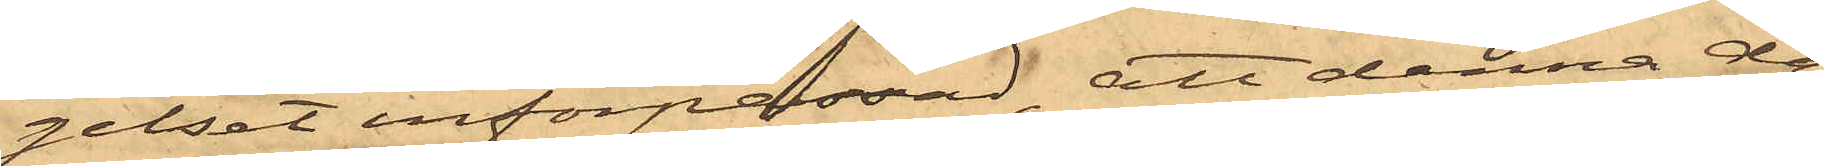gelset införpassad, att denna dag
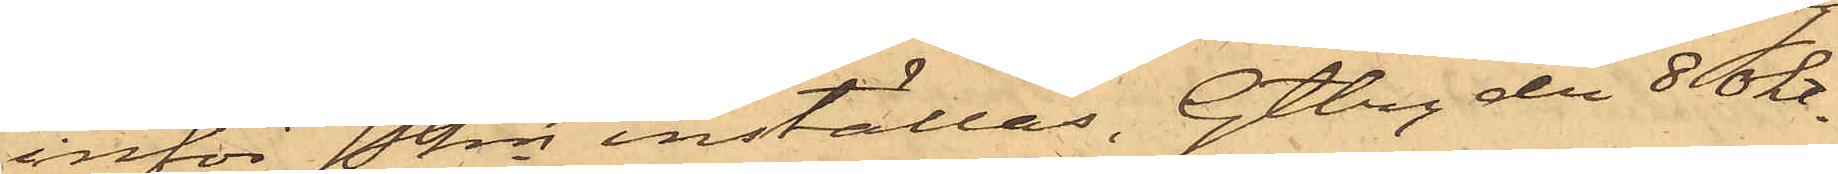inför Pkn inställas. Gtbg den 8 Okt.
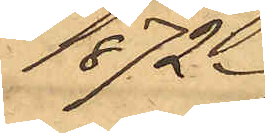1872.
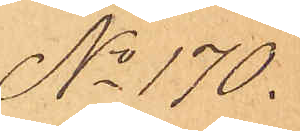No 170.
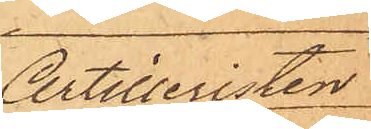Artilleristen
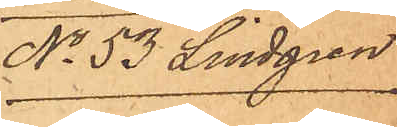No 53 Lindgren
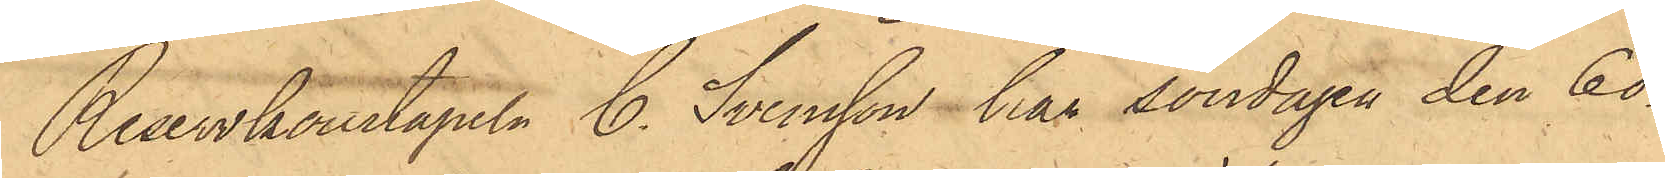Reservkonstapeln C. Svensson har söndagen den 6 ds
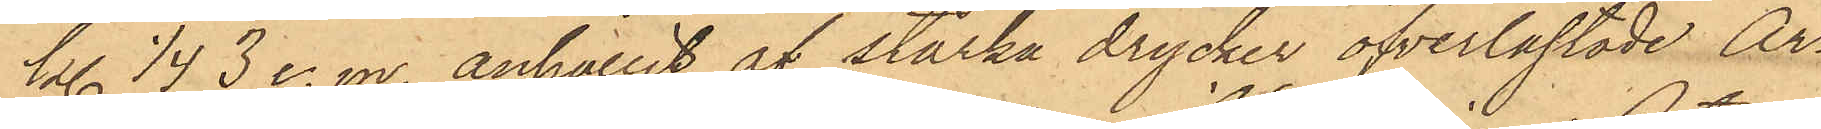kl. 1/4 3 e. m. anhållit af starka drycker öfverlastade Ar¬
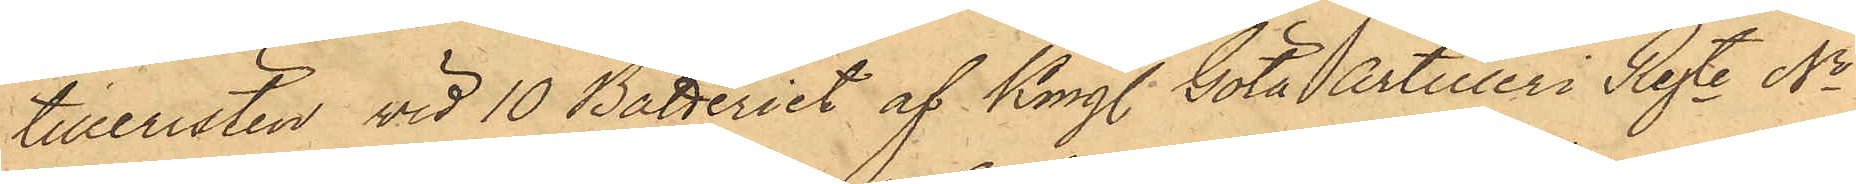tilleristen vid 10 Batteriet af Kongl. Göta Artilleri Regte No
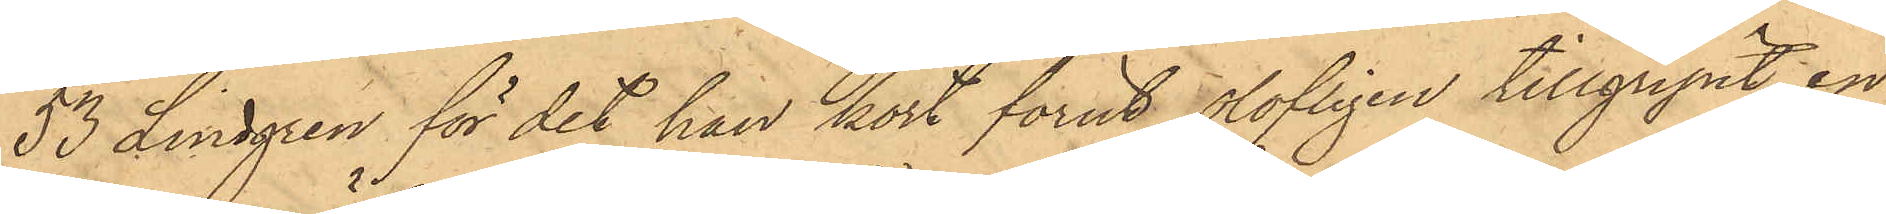53 Lindgren för det han kort förut olofligen tillgripit en
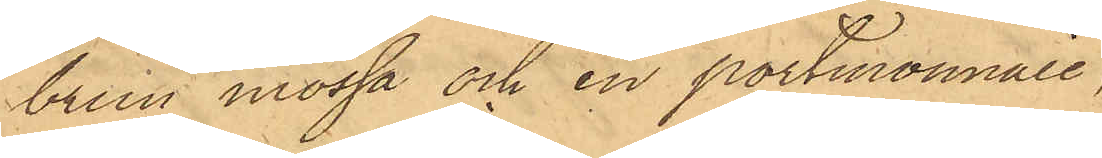brun mössa och en portmonnaie
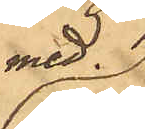med.
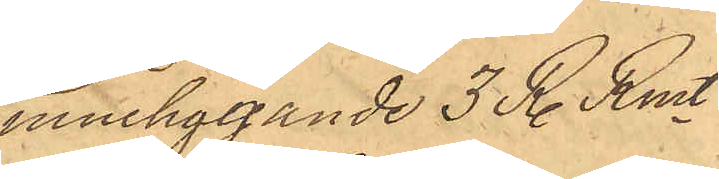inneliggande 3 R. Rmt
